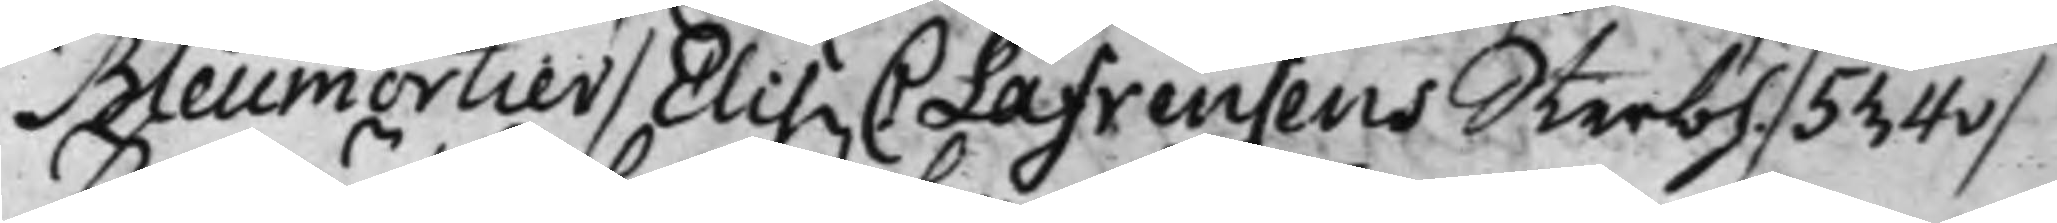Bleumortier / Elis. C Lafrensens Sterbh. / 534v /
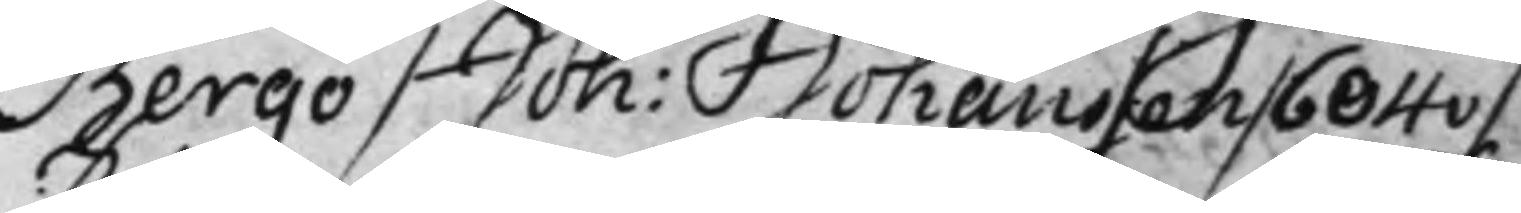Bergö / Joh: Johansson / 604v / 
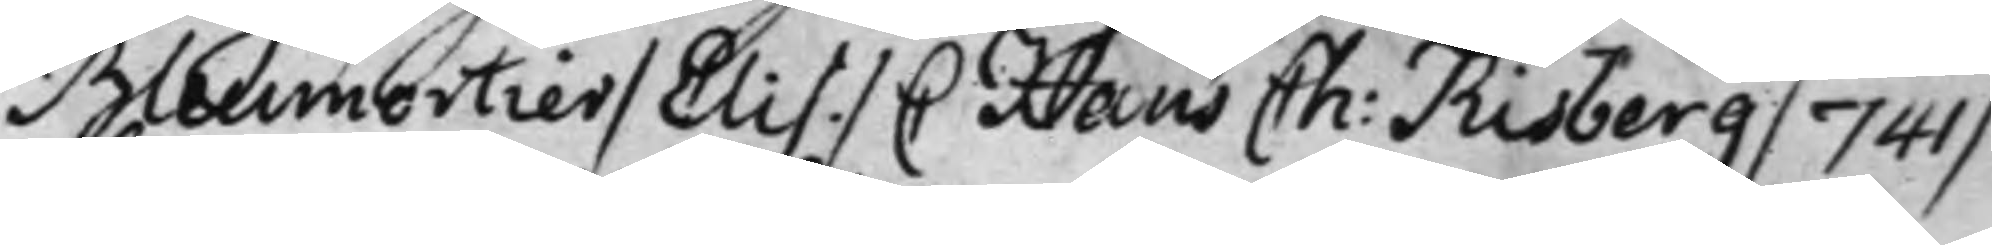Bleumortier / Elis. / C Hans Ch: Risberg / 741 / 
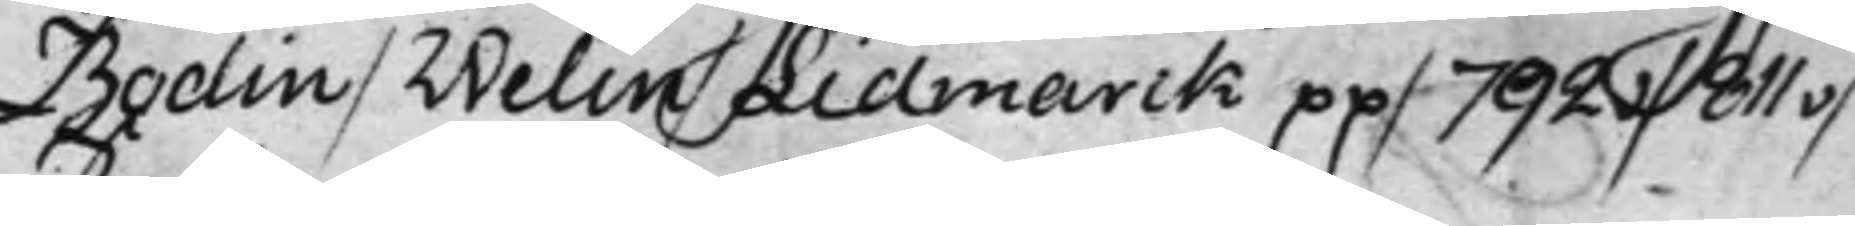Bodin / Welin / Lidmarck pp / 792v / 811v /
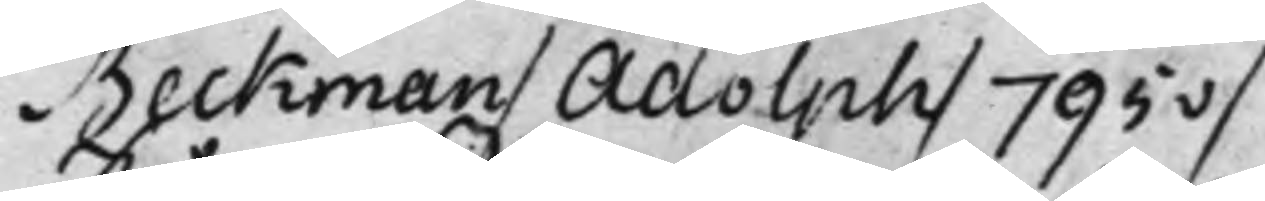Beckman / Adolph / 795v /
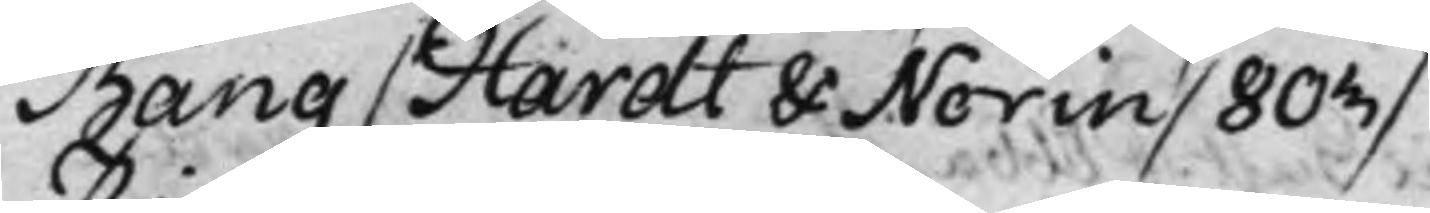Bang / Hardt & Norin / 803 / 
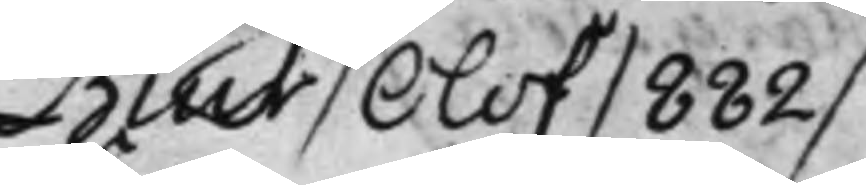Biur / Olof / 882 /
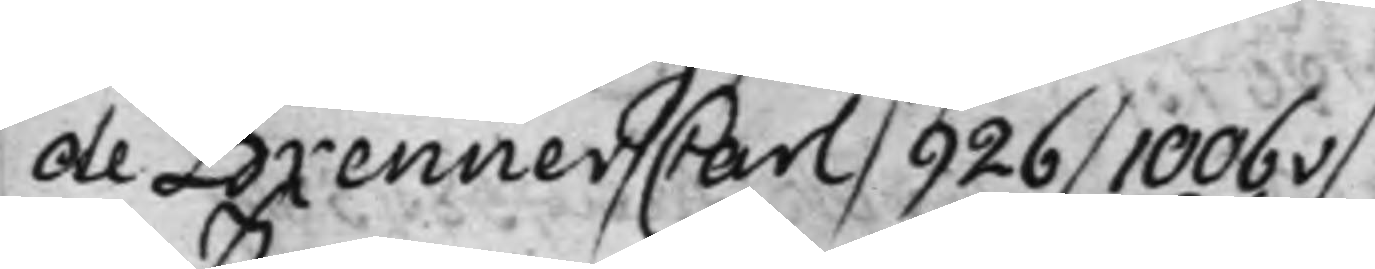de Brenner / Carl / 926 / 1006v /
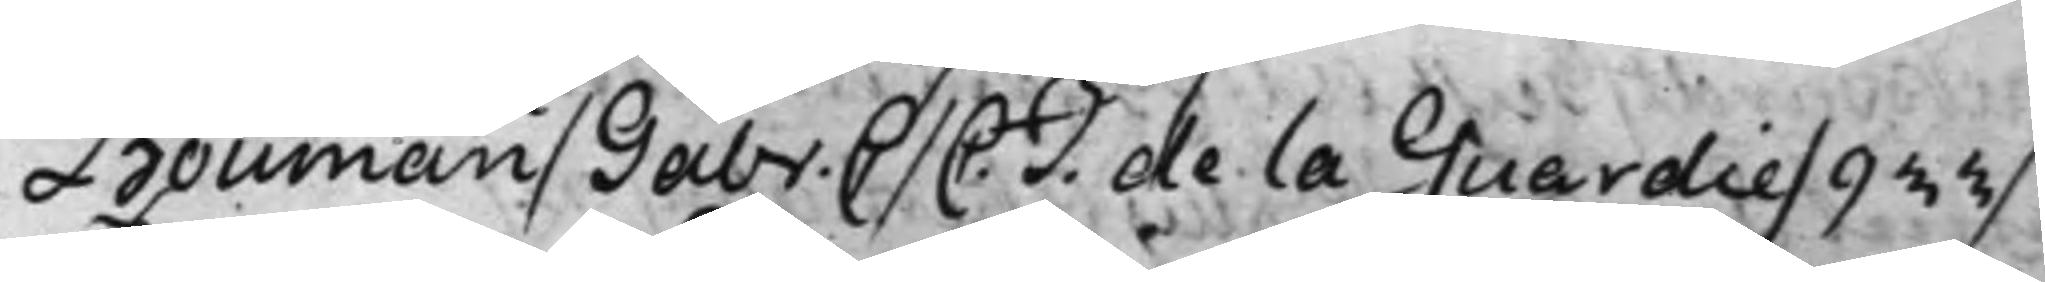Bouman / Gabr: C / C. J. de la Guardie / 933 / 
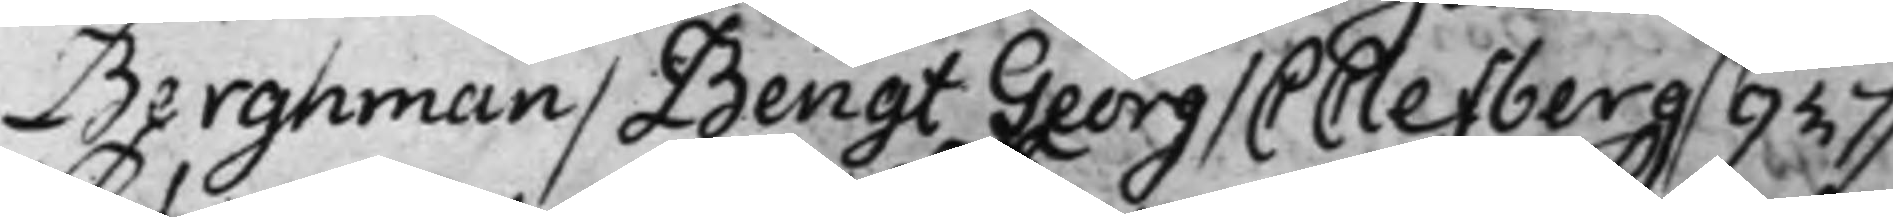Berghman / Bengt Georg / C Clefberg / 937 /
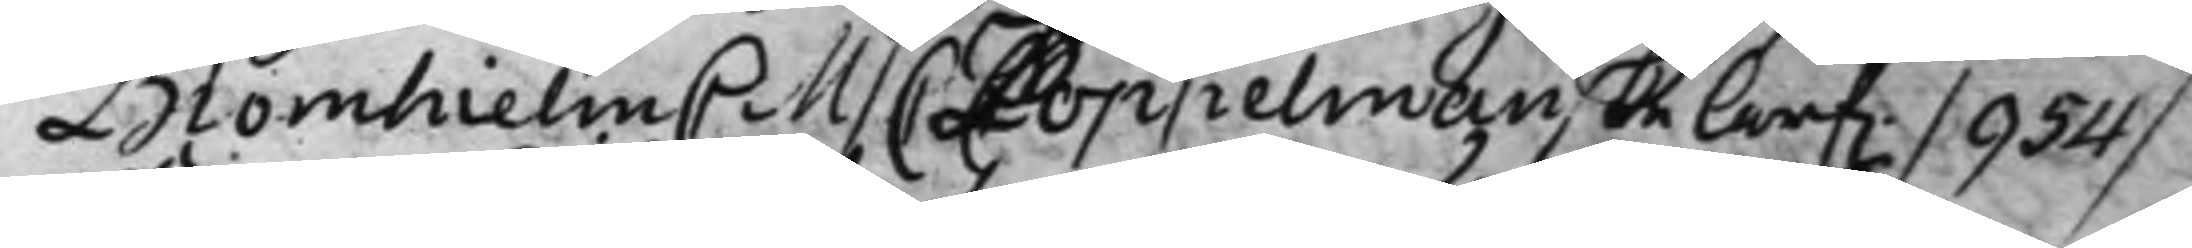Bornhielm C M / C Coppelmanske Arf. / 954 / 
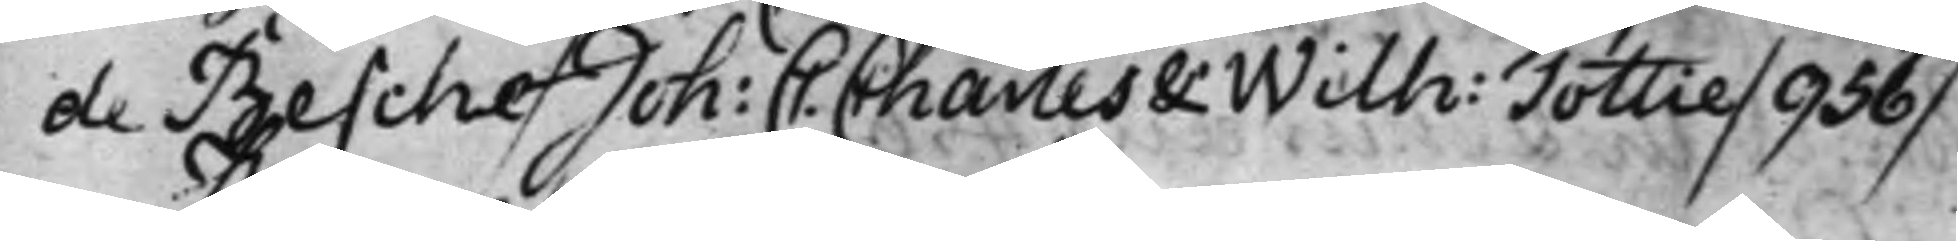de Besche / Joh: C. Charles & Wilh: Tottie / 936 / 
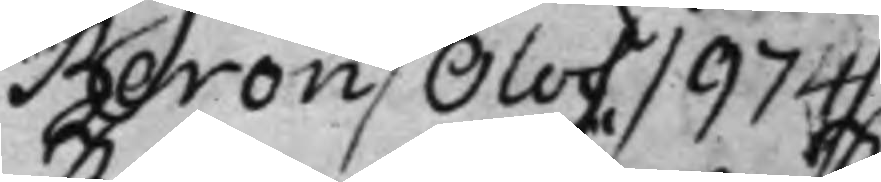Beron / Olof / 974 /
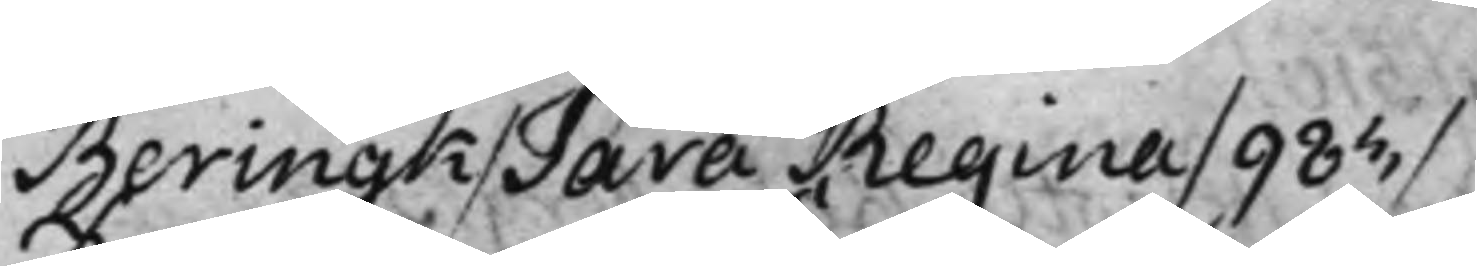Beringk / Sara Regina / 983 /
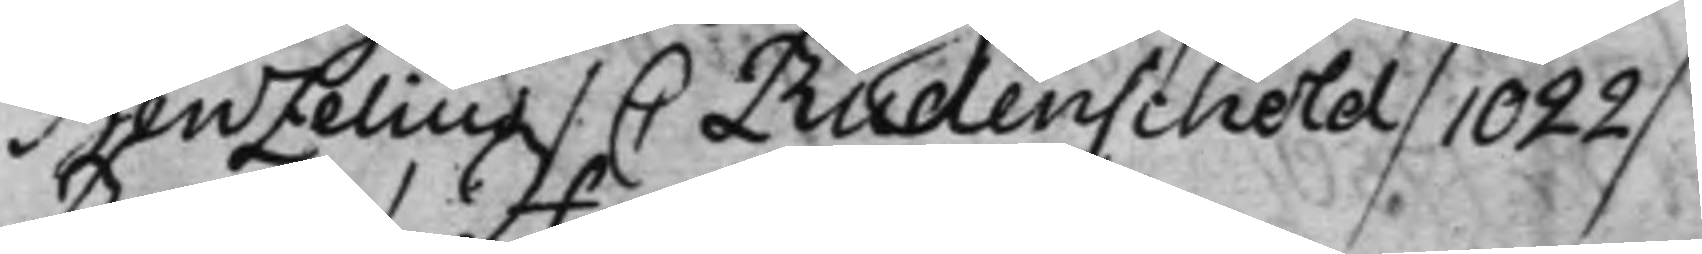Benzelius / C Rudenscheld / 1022 / 
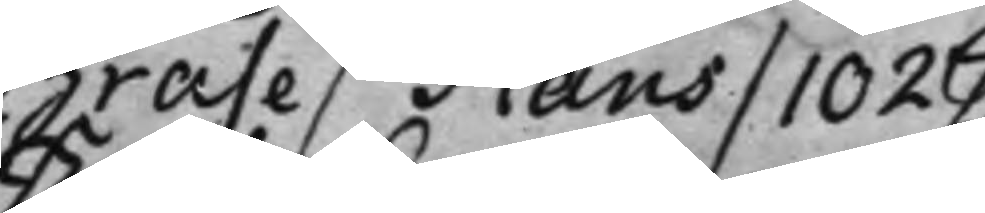Brase / Hans / 1027 /
